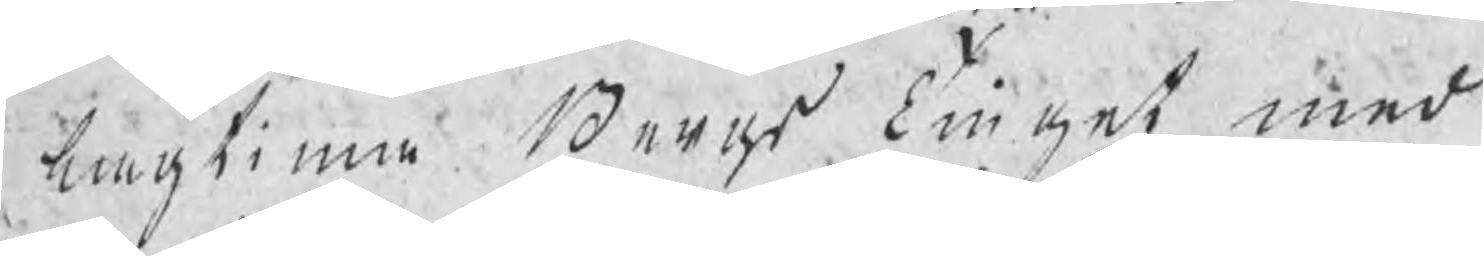lagtima Bergs Tinget med
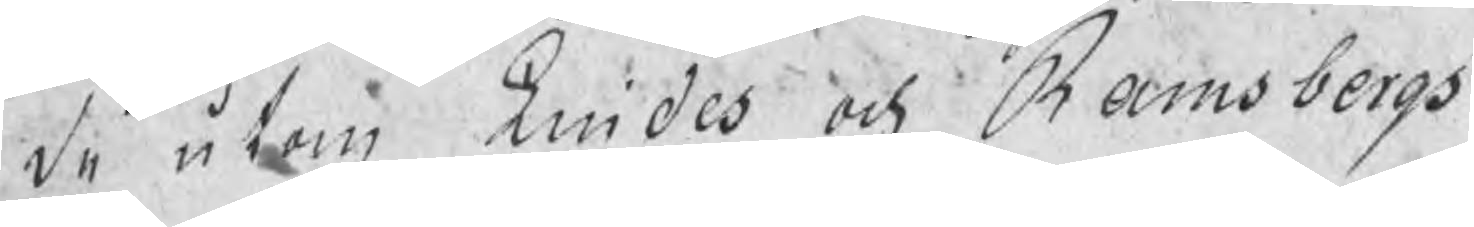de utom Lindes och Ramsbergs
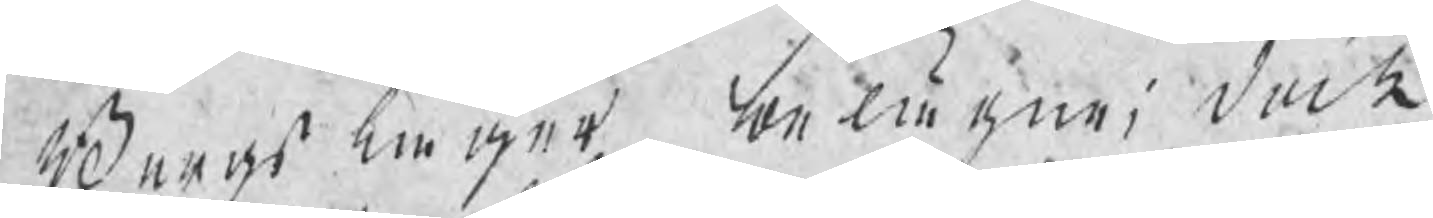Bergslager belägne; dock
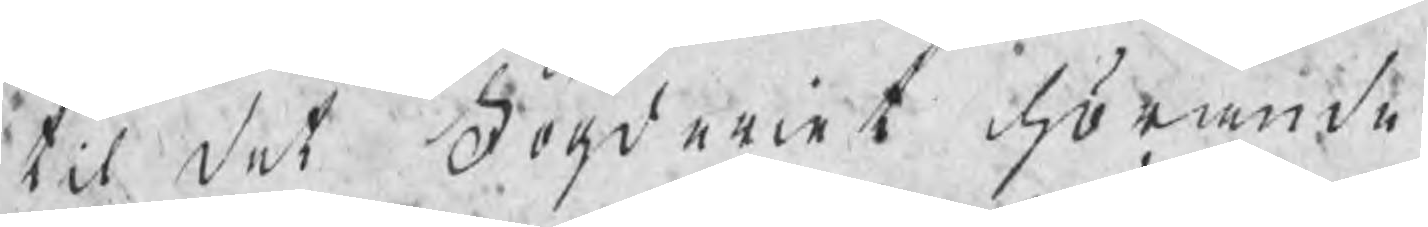til det Fögderiet hörande
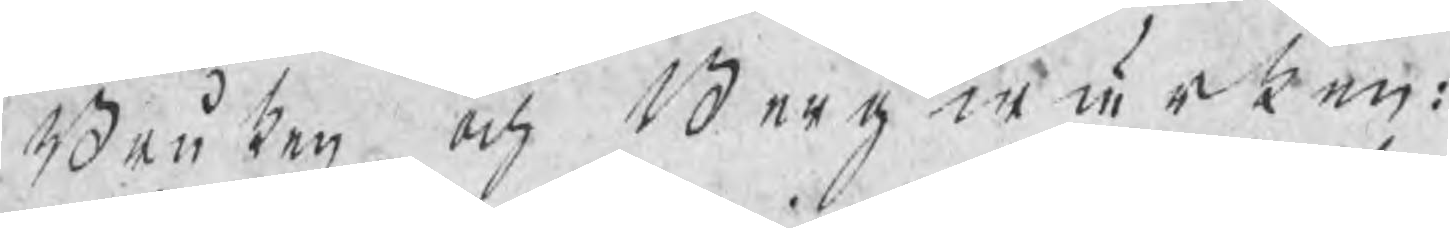Bruken och Bergwärken:
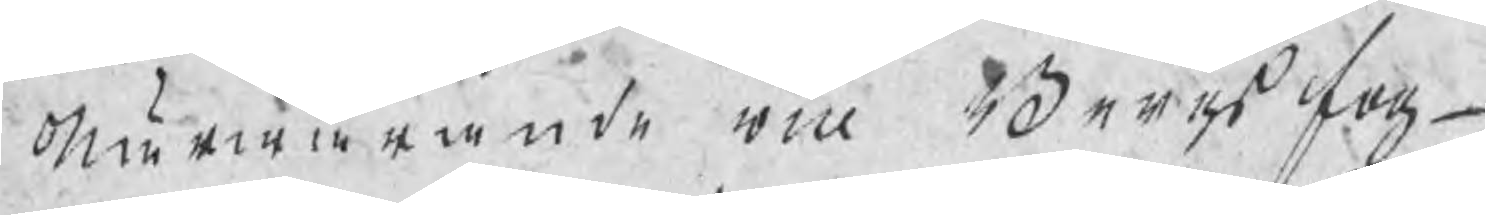Nörwarande vice Bergsfog¬
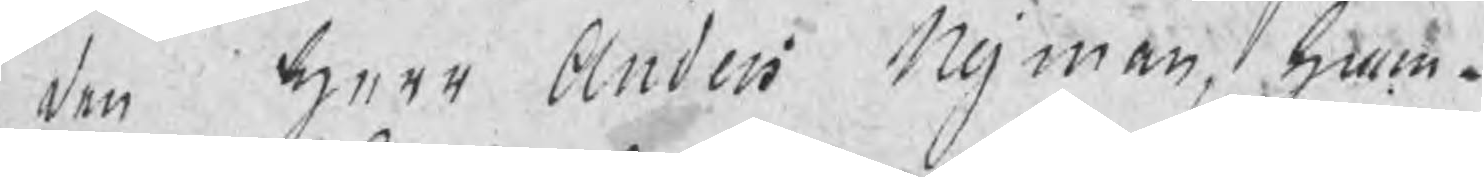den Herr Anders Nyman, ham¬
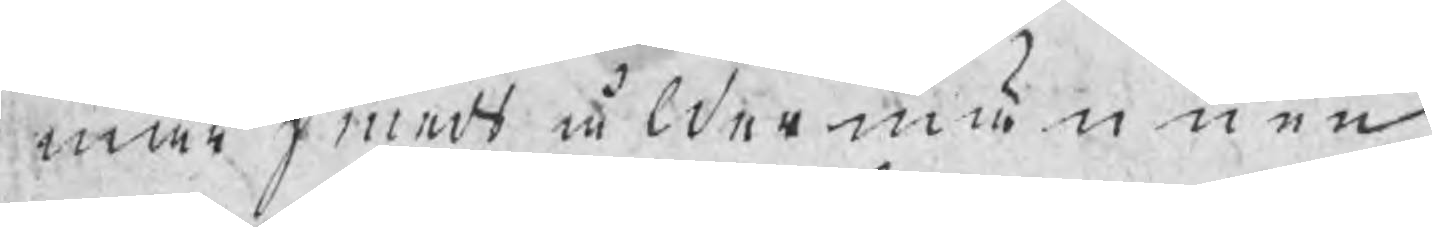marsmedsåldermännen
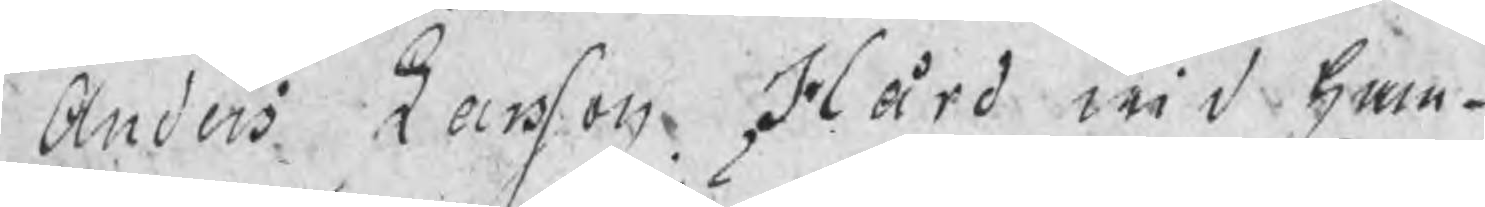Anders Larsson Hård wid Ham¬
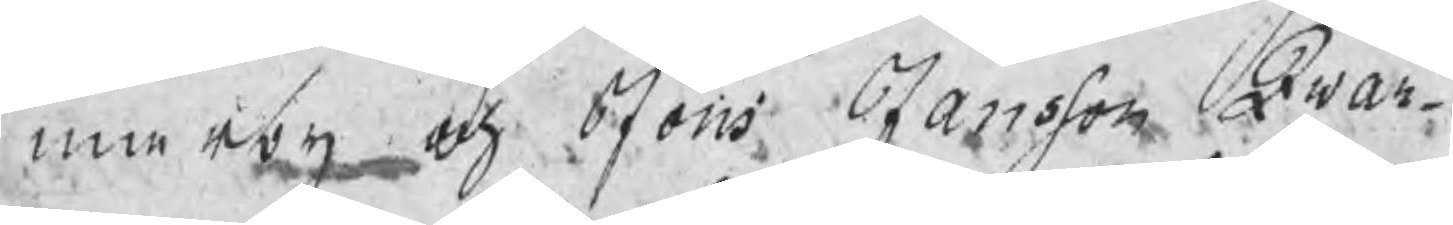marby och Jöns Jansson Qwar¬
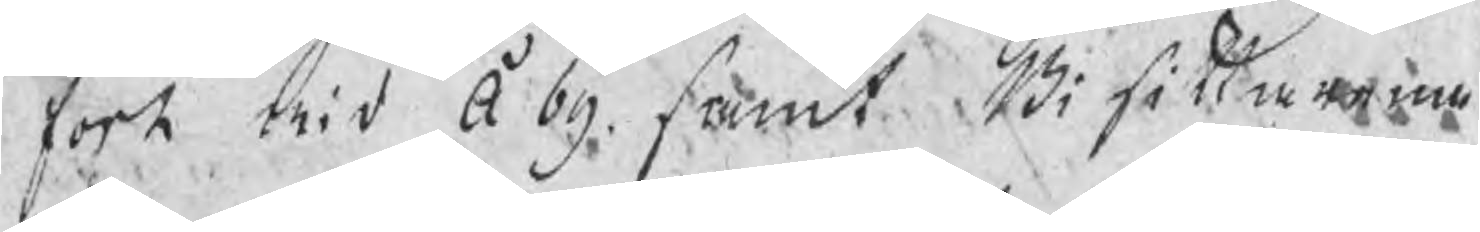fort wid åby, samt Bisittarne
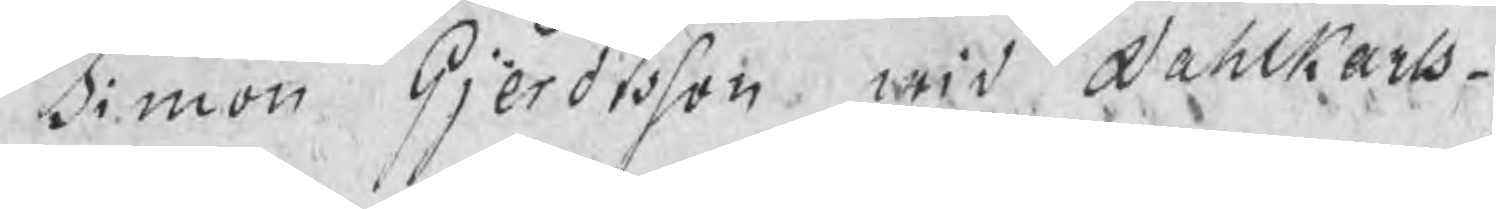Simon Gjerdtsson wid Dahlkarls¬
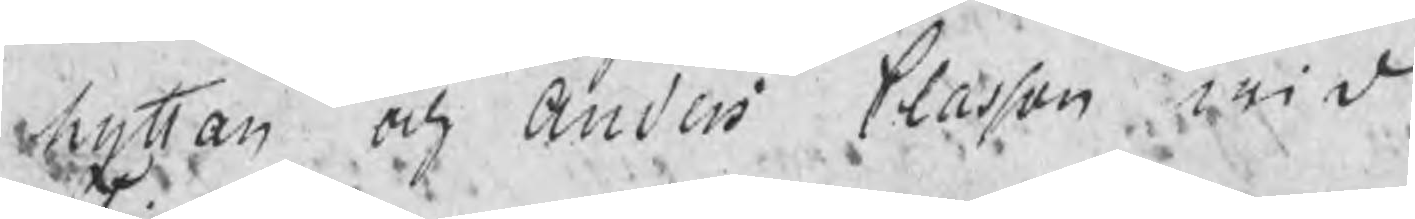hyttan och Anders Classon wid
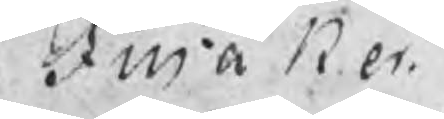Finåker.
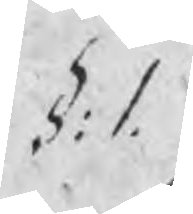§: 1.
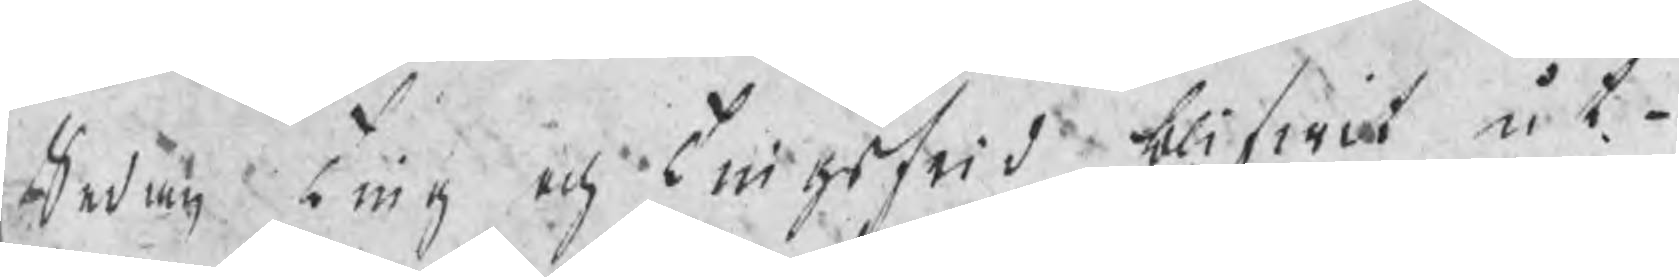Sedan ting och tingsfrid blifwit ut¬
